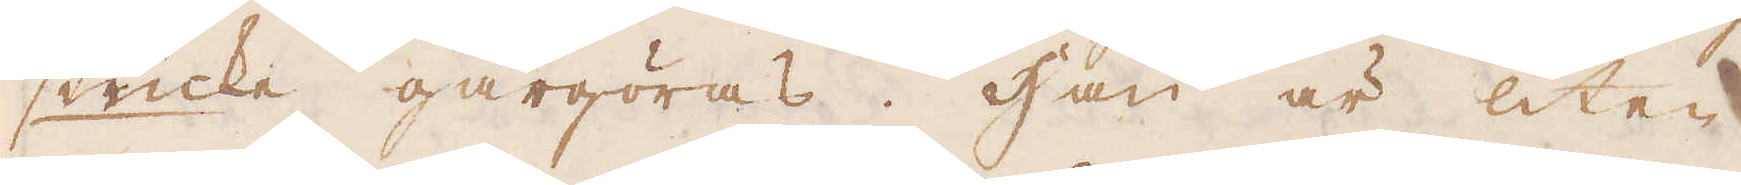stücke gårgöras. Han är liten
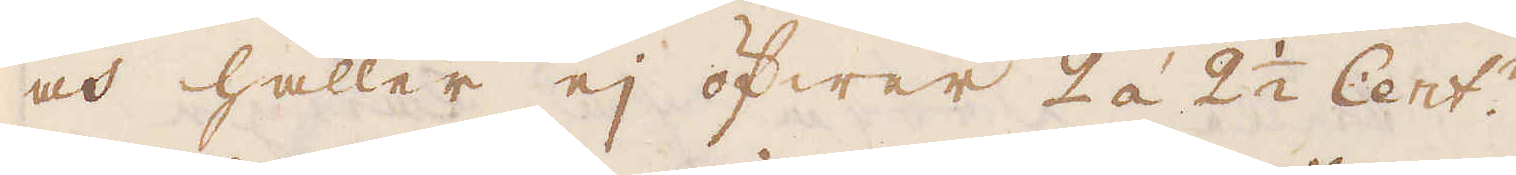och håller ej öfwer 2 á 2 1/2 Cent:r.
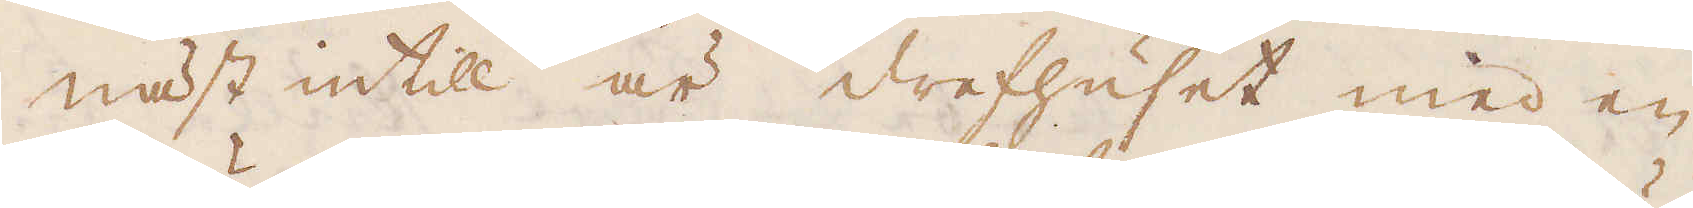Näst intill är drefhuset med en
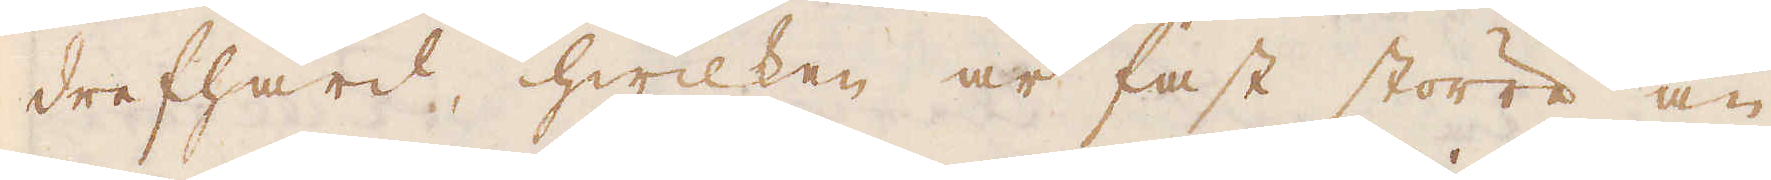drefhärd, hwilken är fast större än
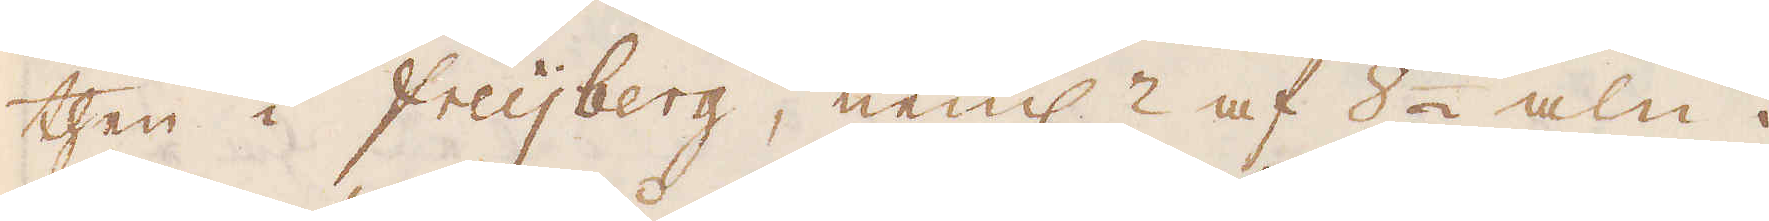then i Freijberg, neml: af 8 1/2 aln i
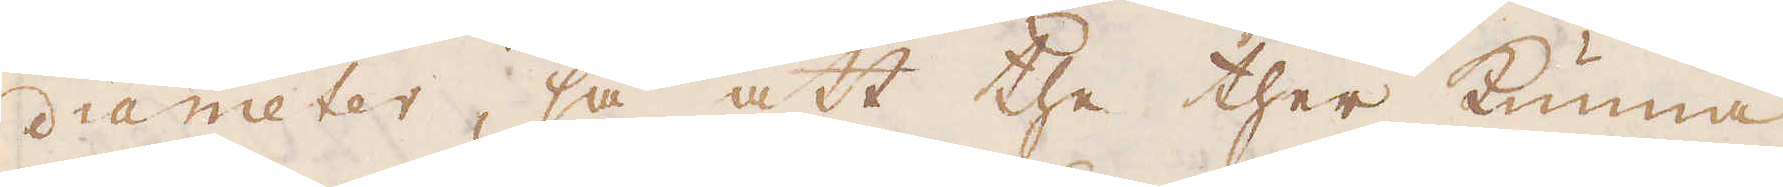diameter, så att the ther kunna
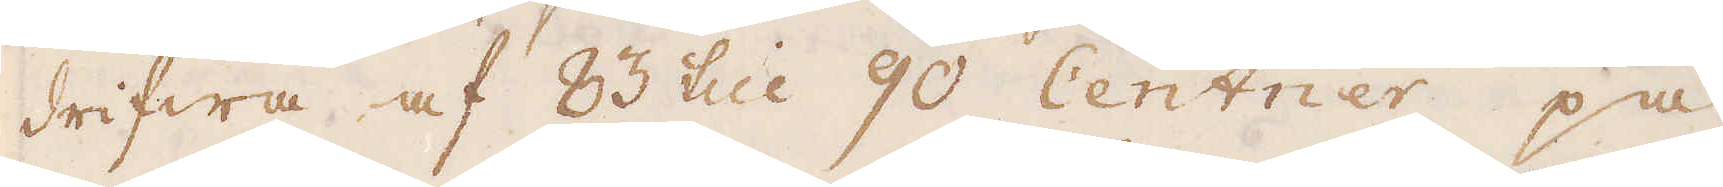drifwa af 83 till 90 Centner på
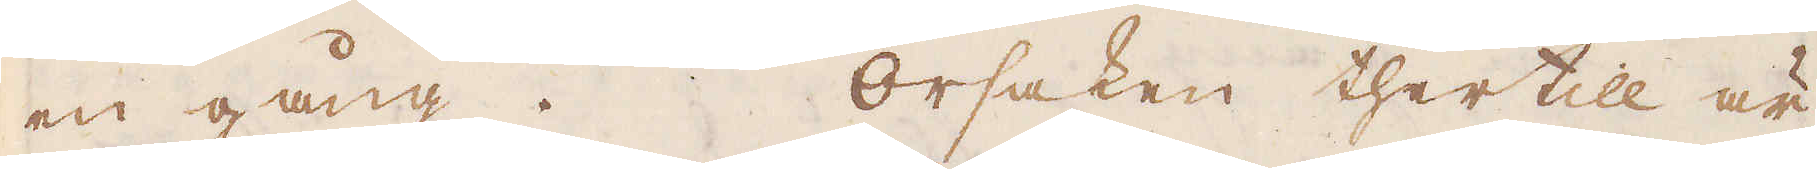en gång. Orsaken thertill är
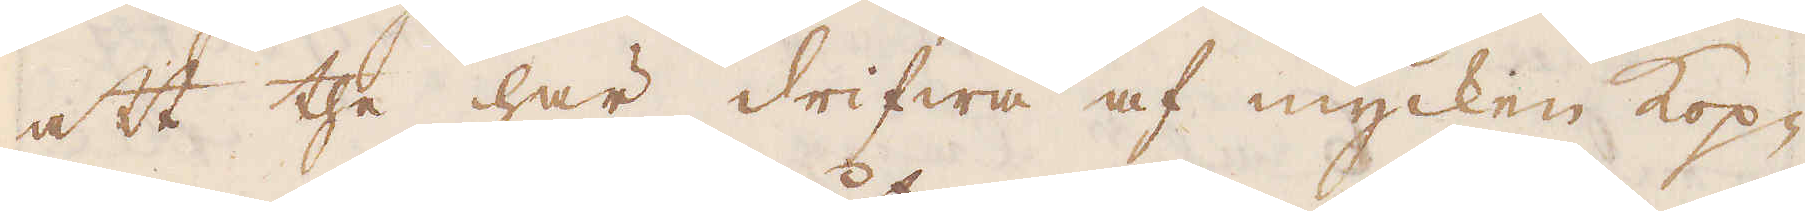att the här drifwa af mycken kop-
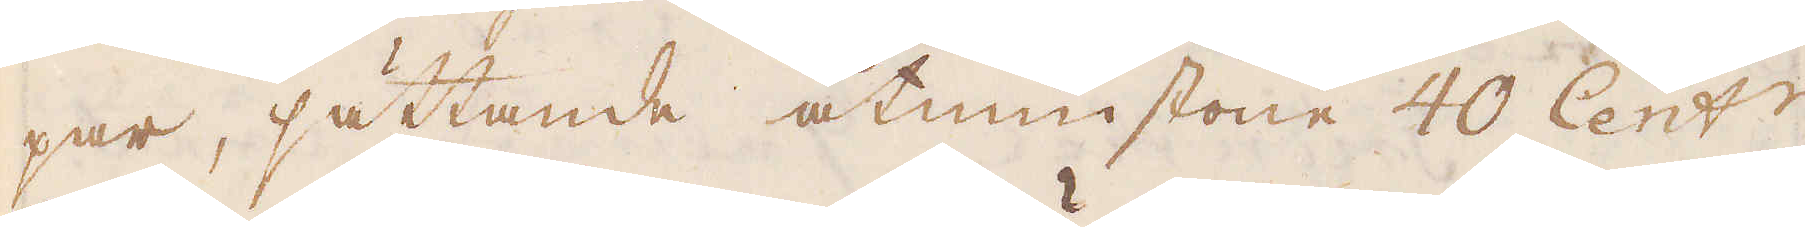par, sättande åtminstone 40 Cent:r
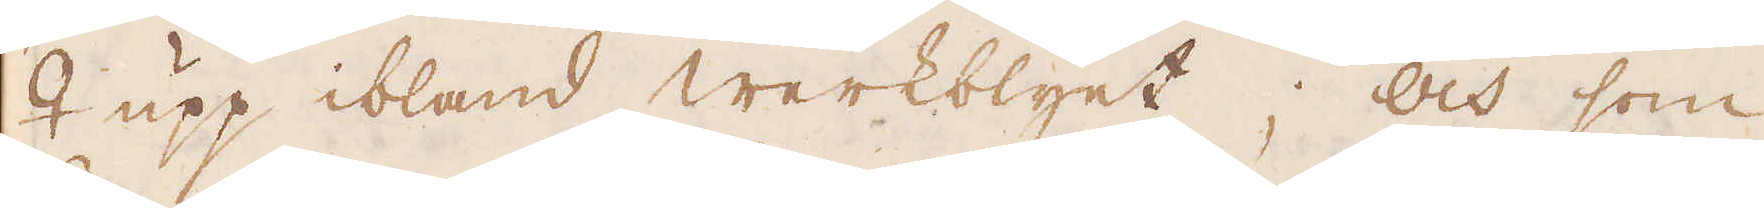♀ upp ibland werkblyet; och som
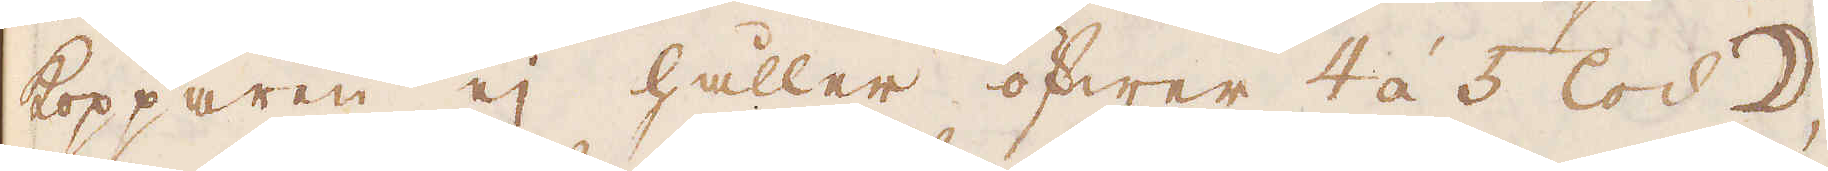kopparen ej håller öfwer 4 á 5 lod ☽,
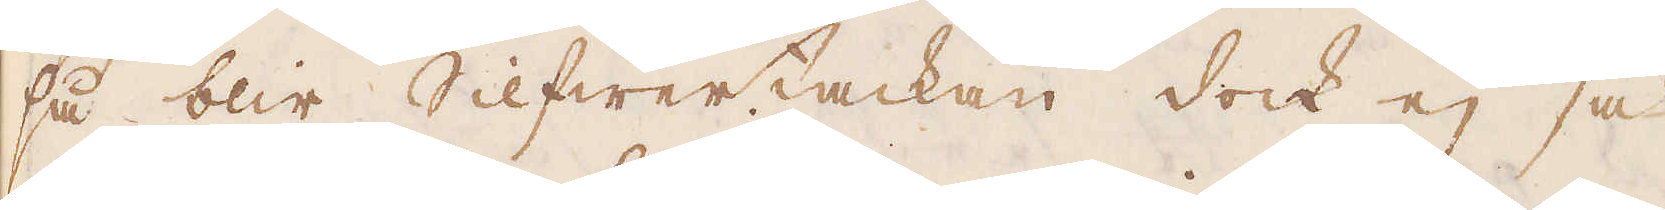så blir Silfwertackan dock ej så
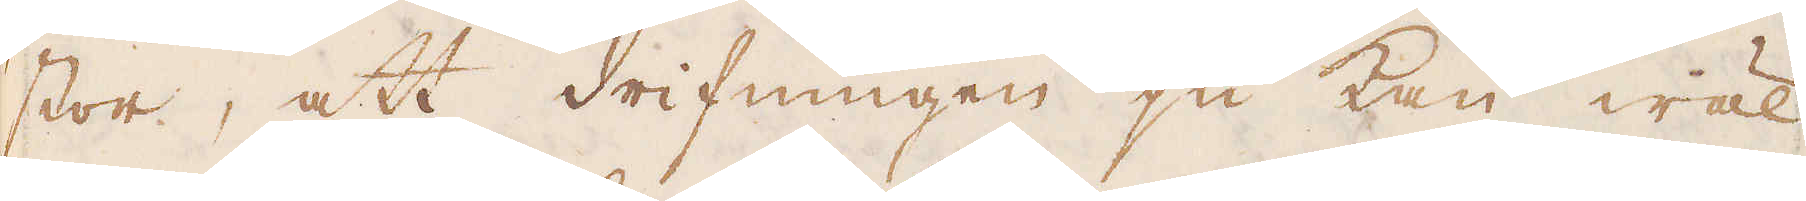stor, att drifningen ju kan wäl
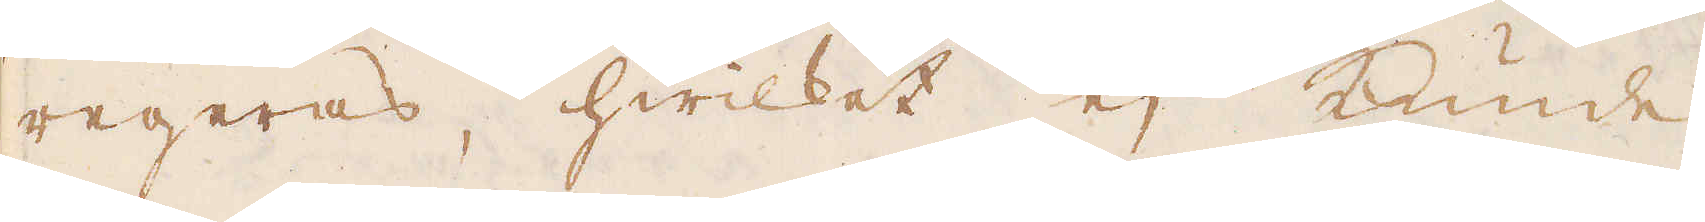regeras, hwilket ej kunde
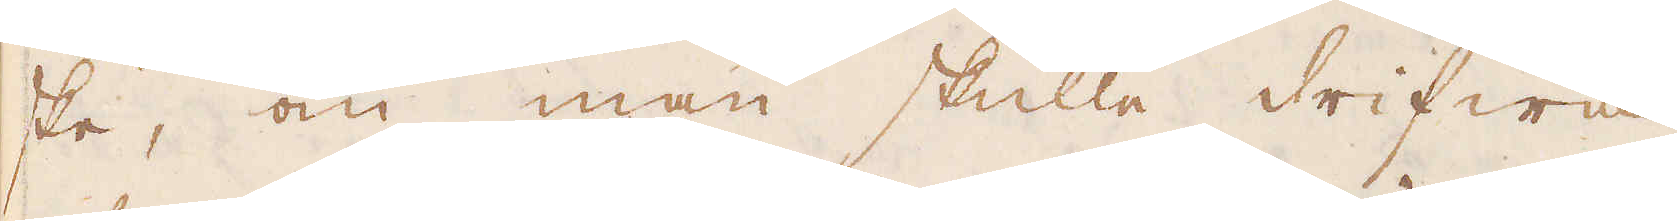ske, om man skulle drifwa
